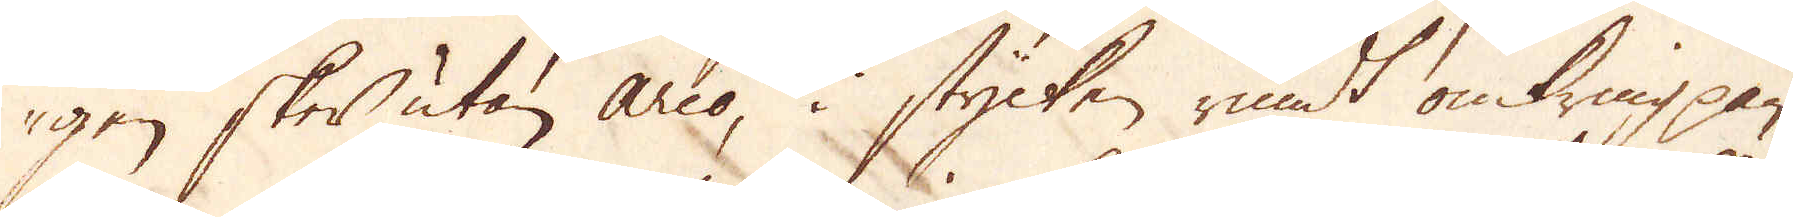gen sker utan Arco, i stycken rundt omkring pan-
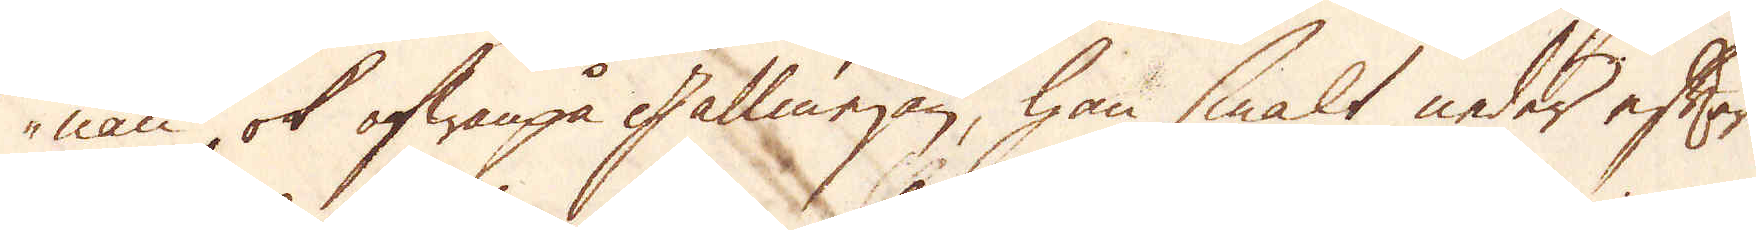nan, ok ofwanpå gallmejan, han smält neder efter
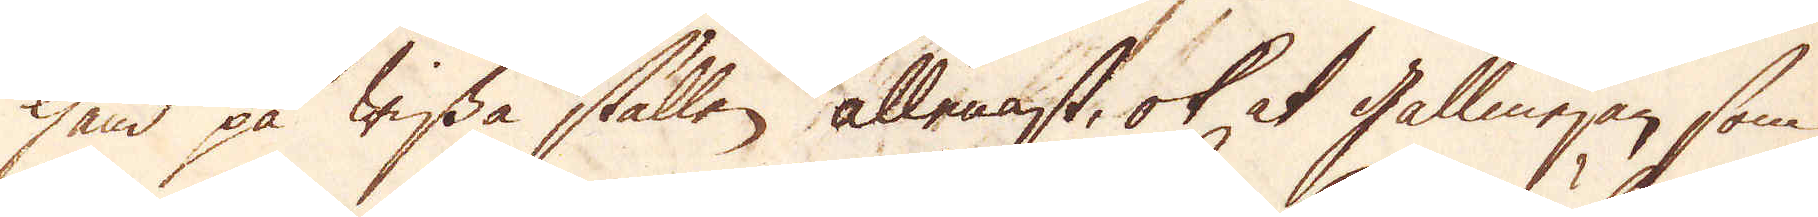hand på wissa ställen allenast, ok at gallmejan, som
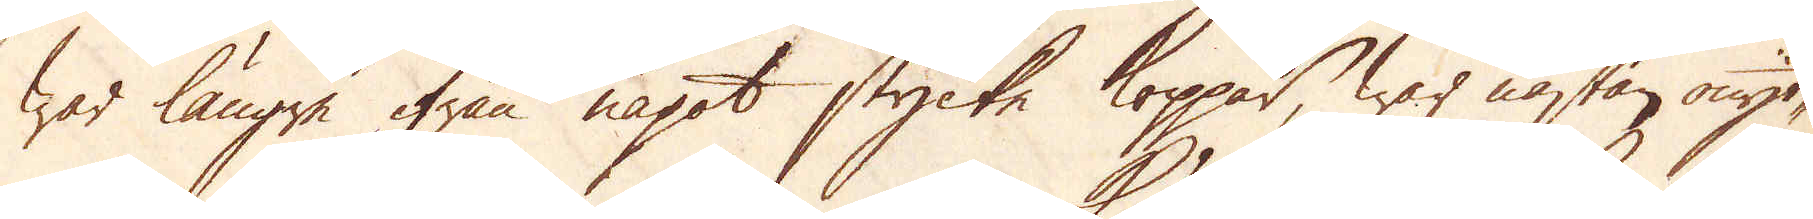war längre ifrån något stycke koppar, war nästan onyt-
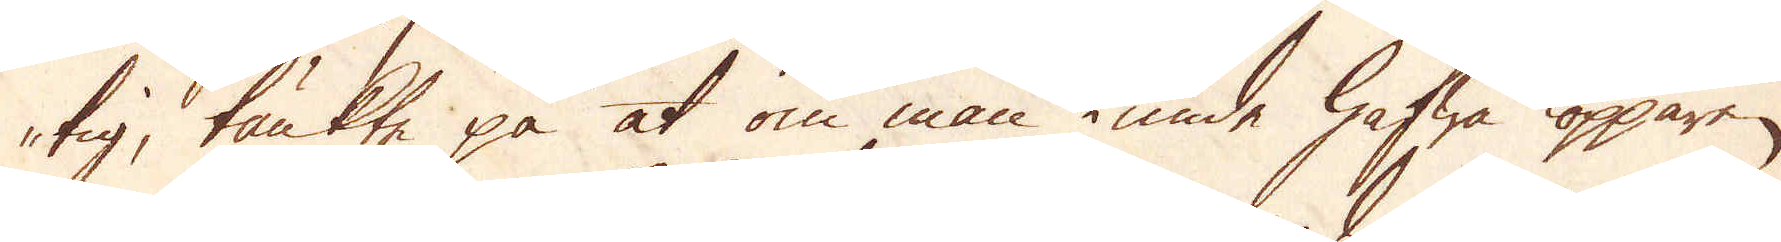tig, tänkte på at om man kunde hafwa kopparen
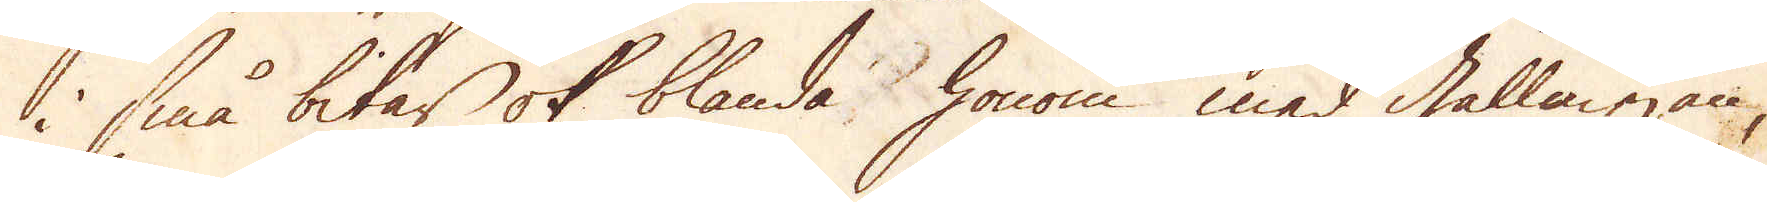i små bitar ok blanda honom med gallmejan,
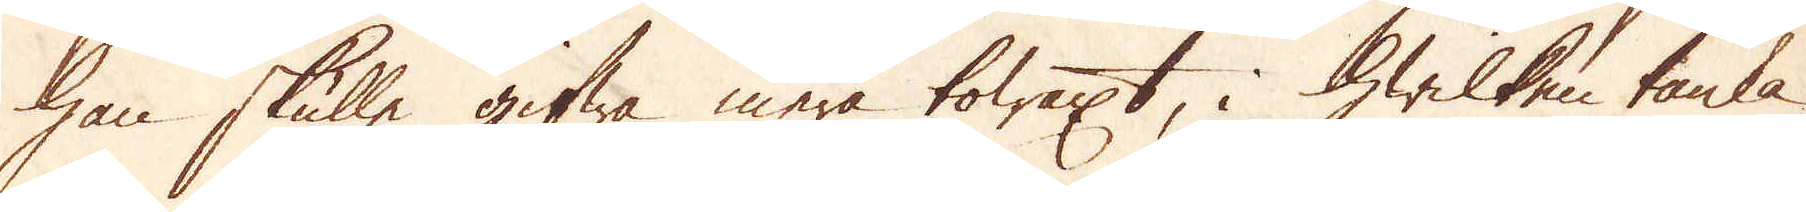han skulle gifwa mera tolaxt, i hwilken tanka
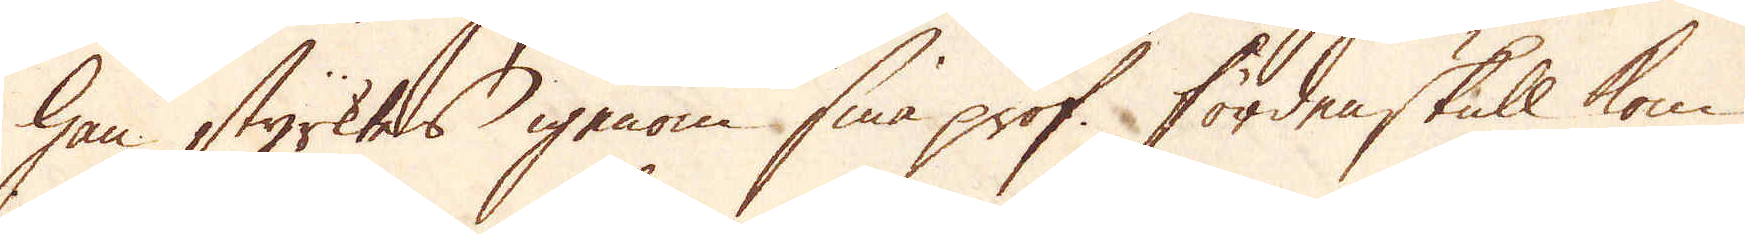han styrktes igenom sina prof. Fördenskull kom
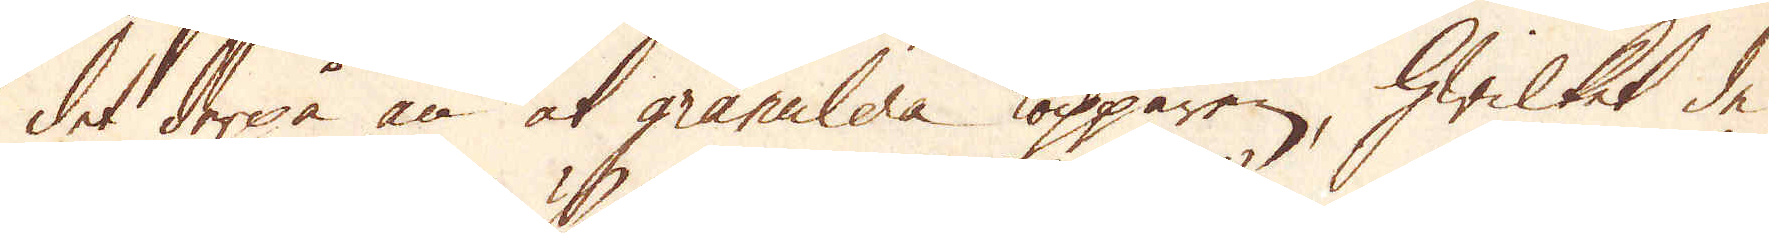det derpå an at granulera kopparen, hwilket de
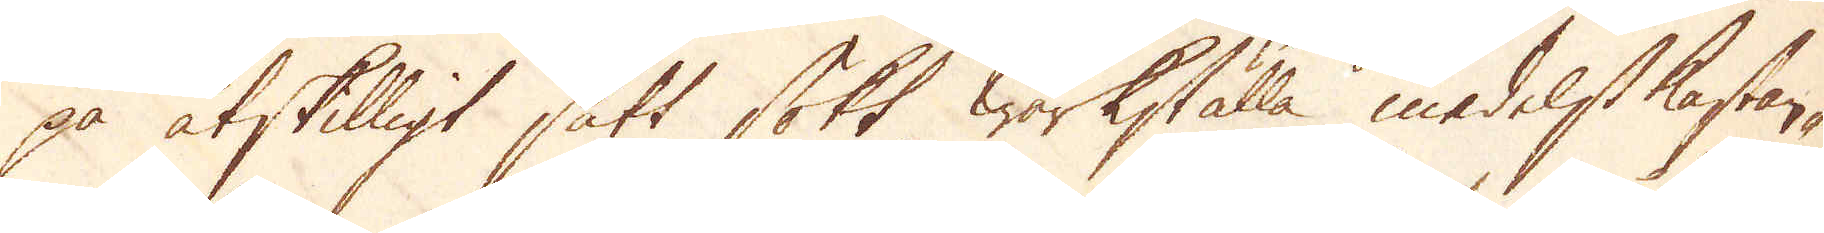på åtskilligt sätt sökt wärkställa medelst kastan-
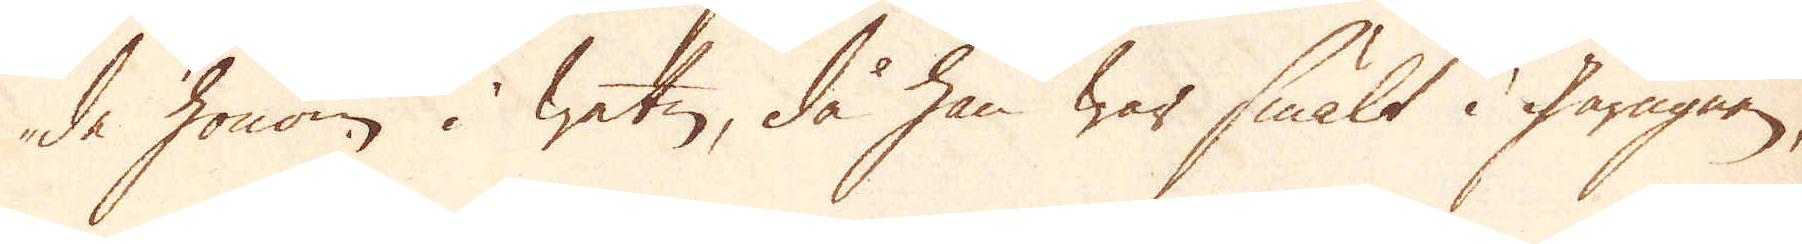de honom i watn, då han war smält i gårugnen,
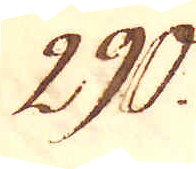290.
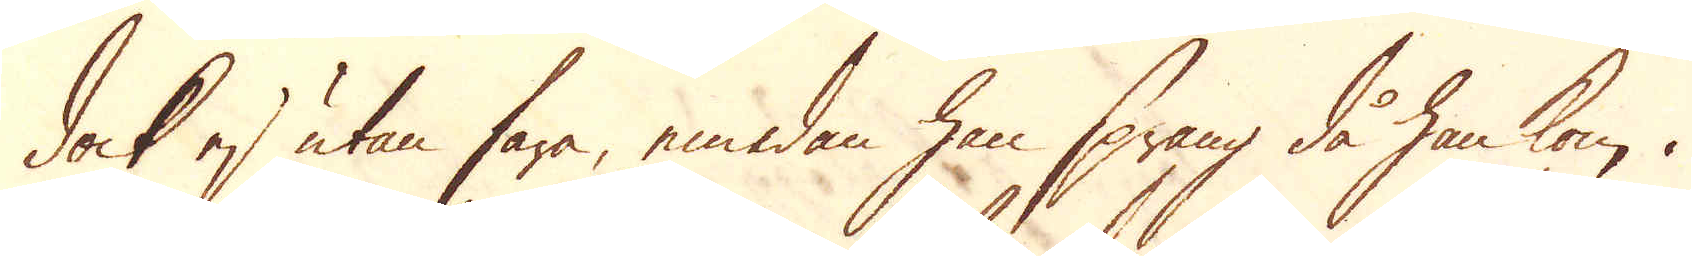dock ej utan fara, emedan han sprang då han kom i
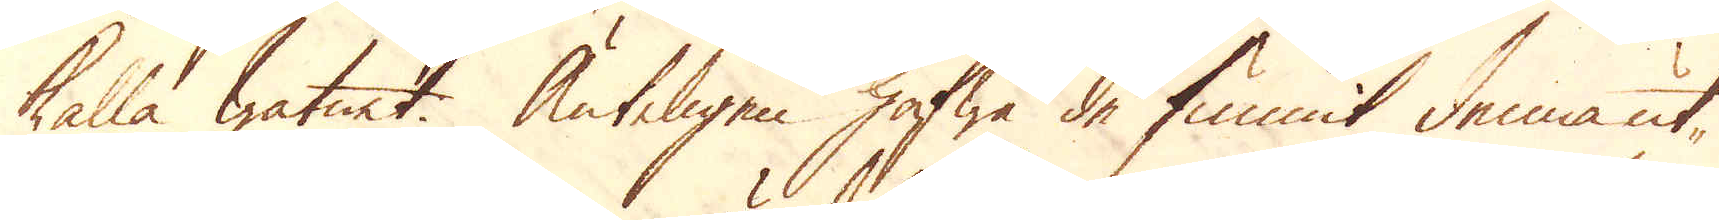kalla watnet. Änteligen hafwa de funnit denna ut-
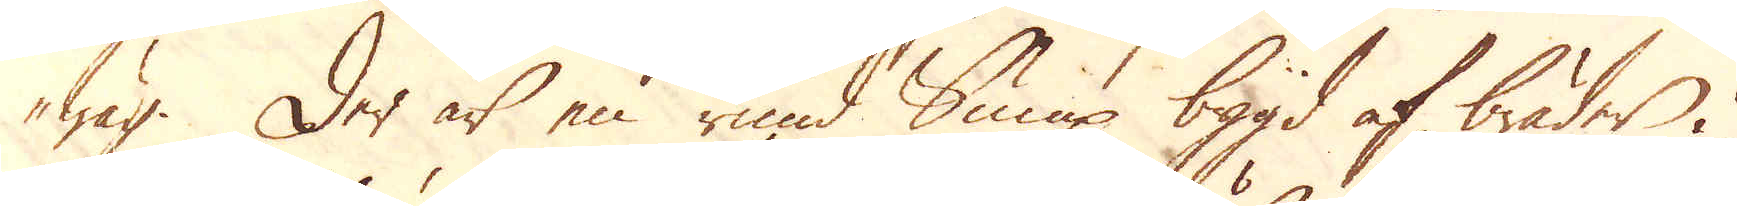wäg. Der är en rund Sump bygd af bräder i
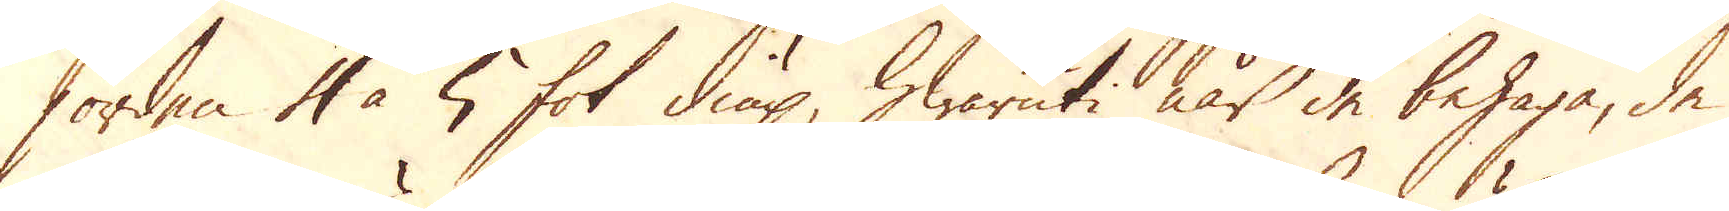jorden 4 à 5 fot diup, hwaruti när de behaga, de
